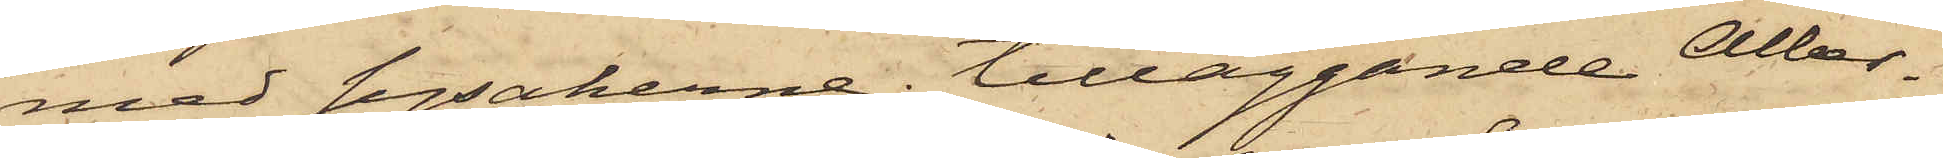med sysakerne, tilläggande Alber¬
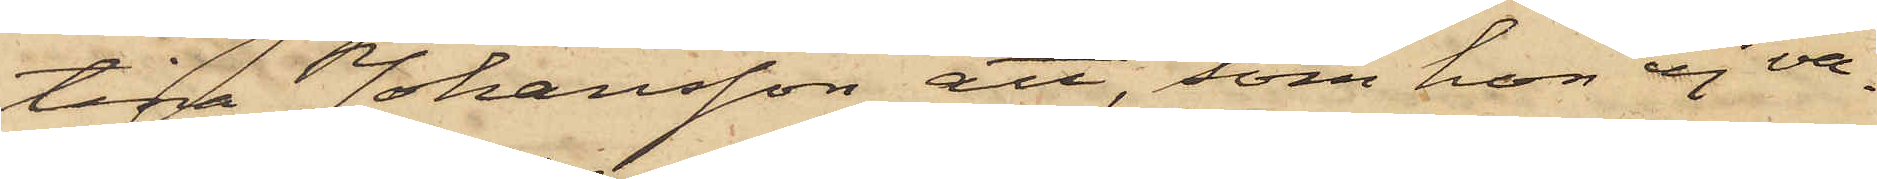tina Johansson att, som hon ej va¬
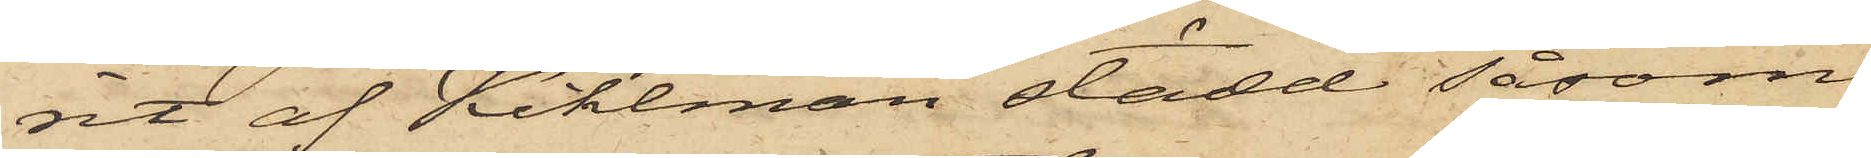rit af Kihlman städd såsom
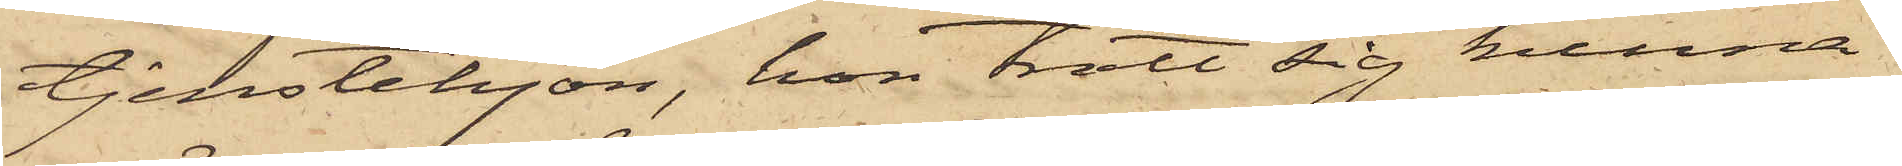tjenstehjon, hon trott sig kunna
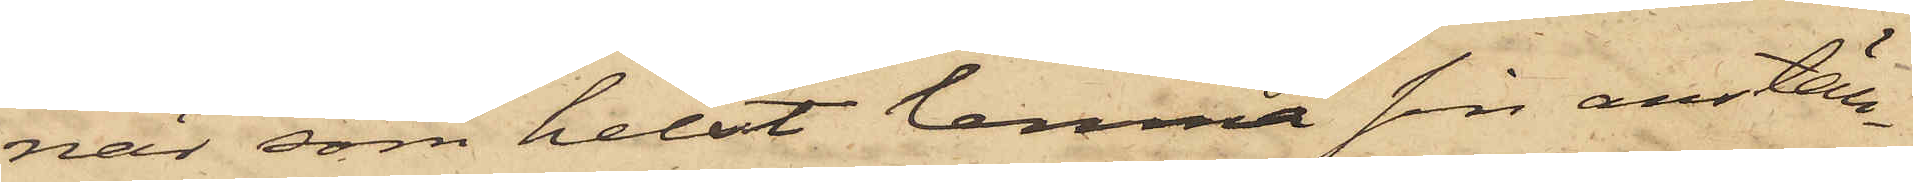när som helst lemna sin anställ¬
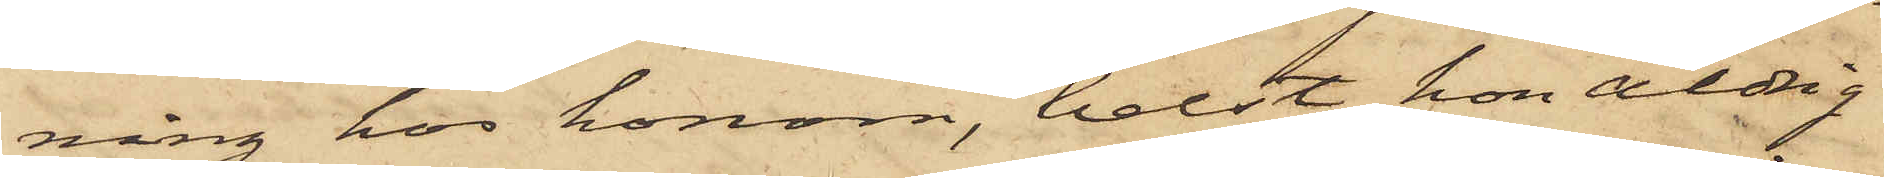ning hos honom, helst hon aldrig
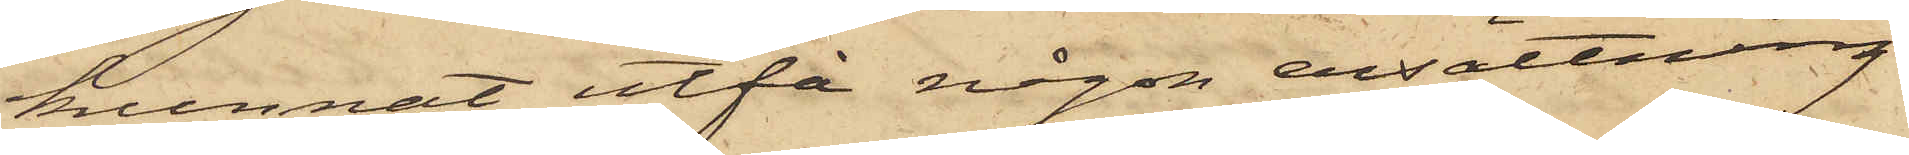kunnat utfå någon ersättning
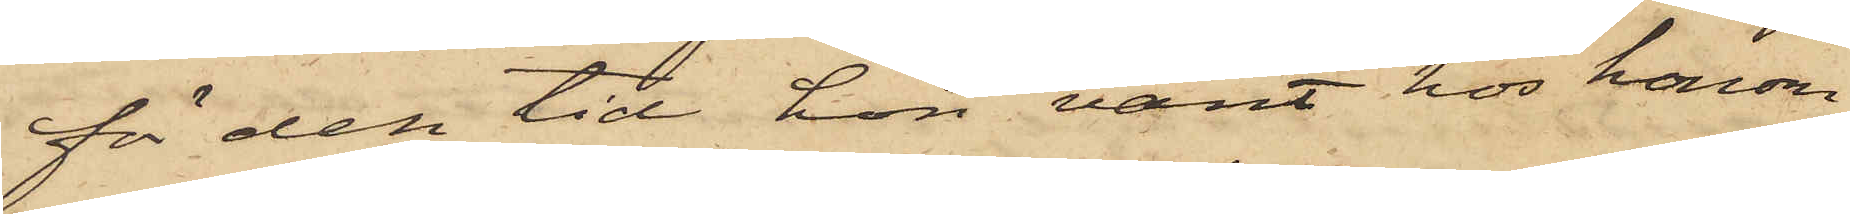för den tid hon varit hos honom.
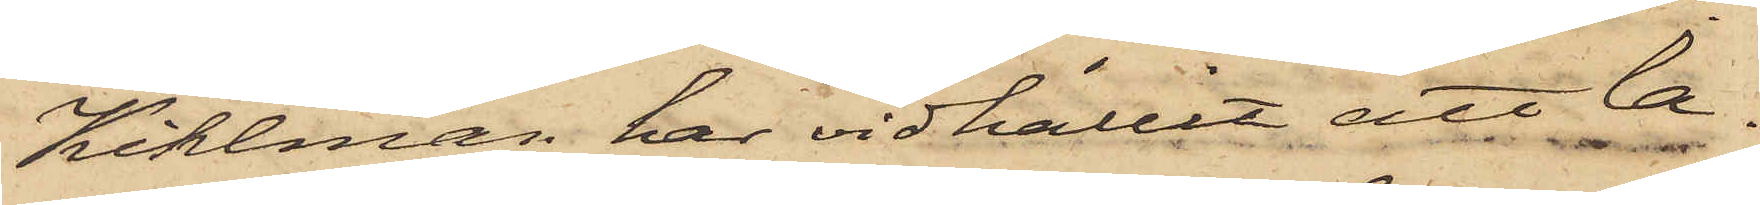Kihlman har vidhållit att la¬
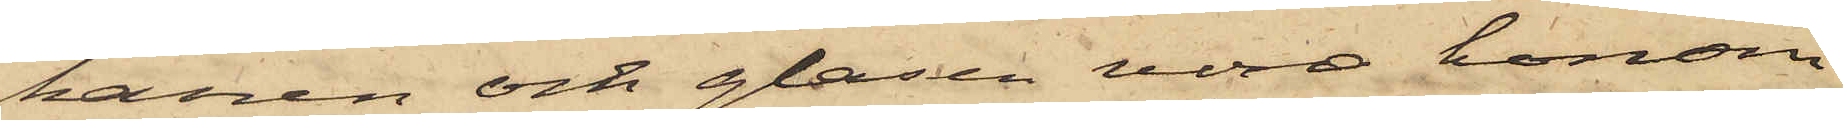kanen och glasen vore honom
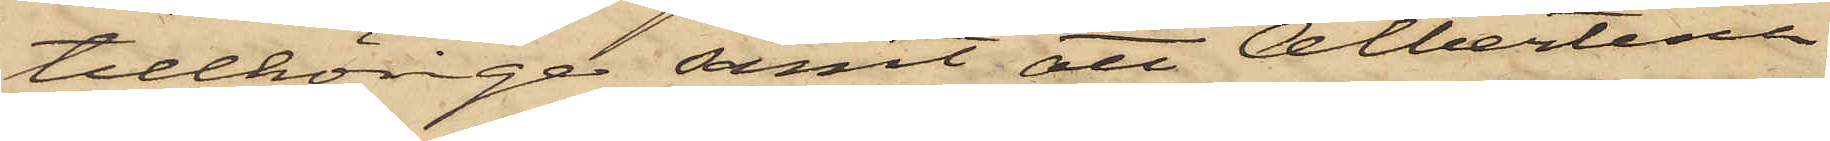tillhörige samt att Albertina
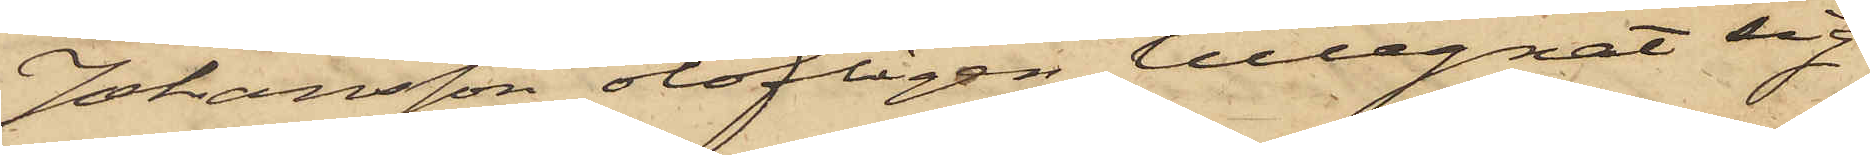Johansson olofligen tillegnat sig
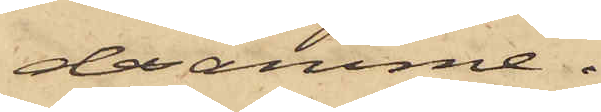desamme.
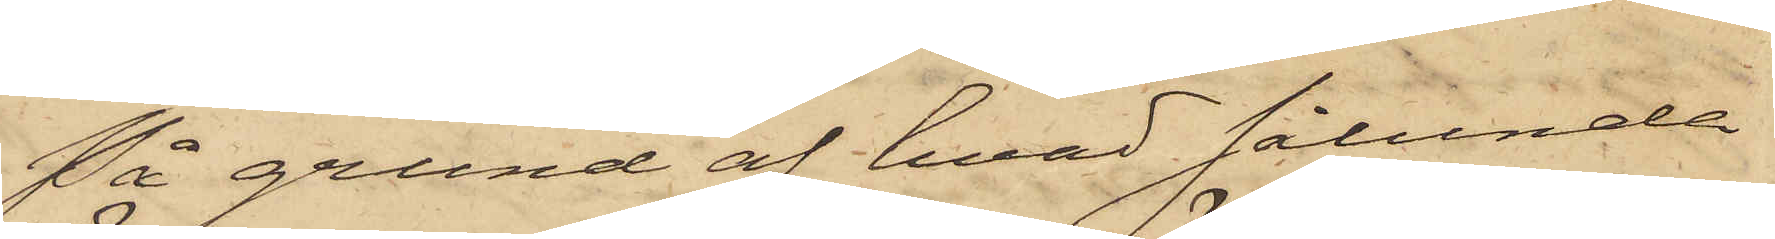På grund af hvad sålunda
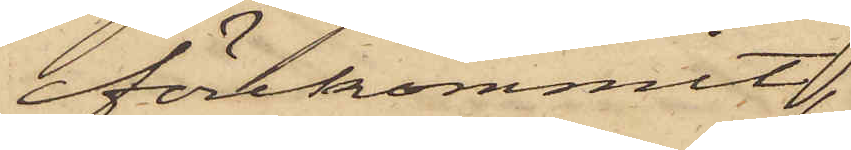förekommit,
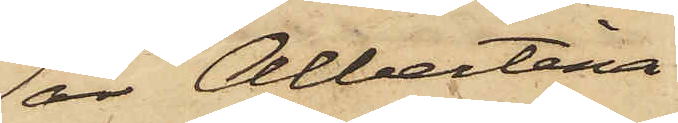är Albertina
